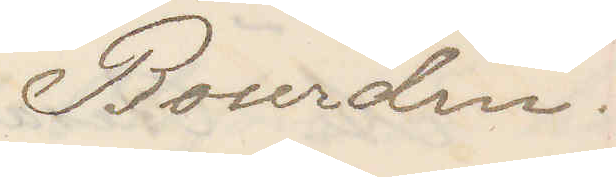Bourdin.
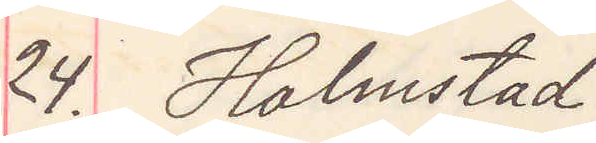24. Halmstad.
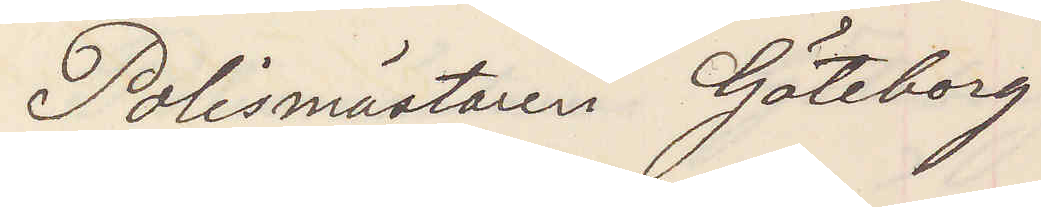Polismästaren Göteborg
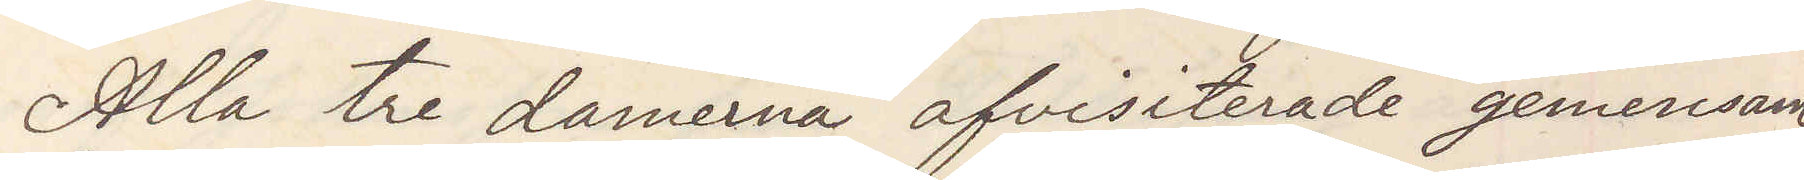Alla tre damerna afvisiterades gemensam¬
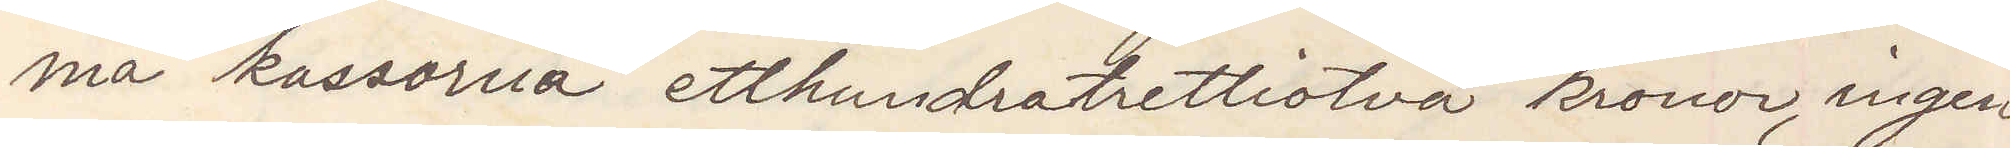ma kassorna etthundratrettiotvå kronor, ingen
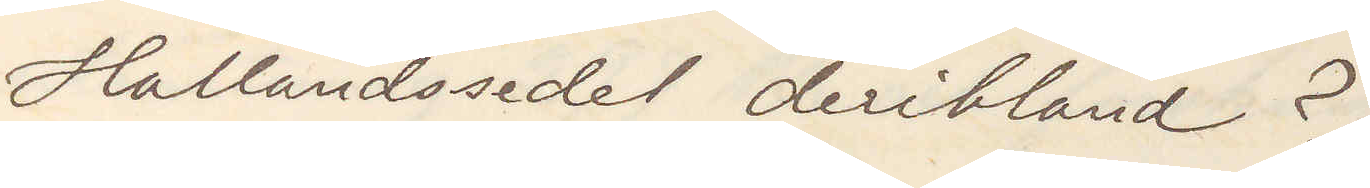Hallandssedel deribland?
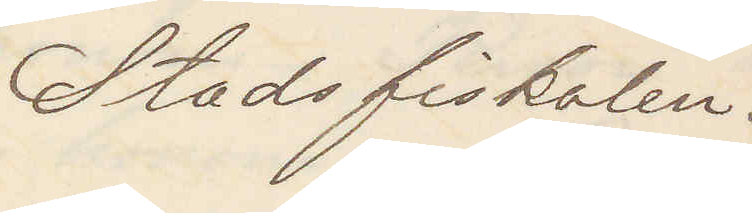Stadsfiskalen.
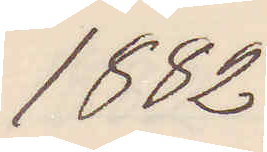1882
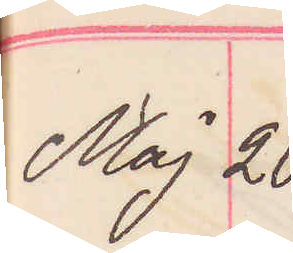Maj 20.
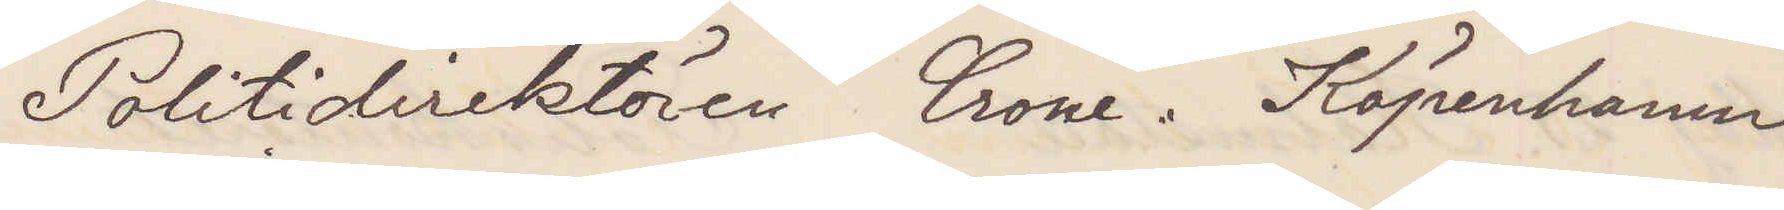Politidirektören Crone. Köpenhamn
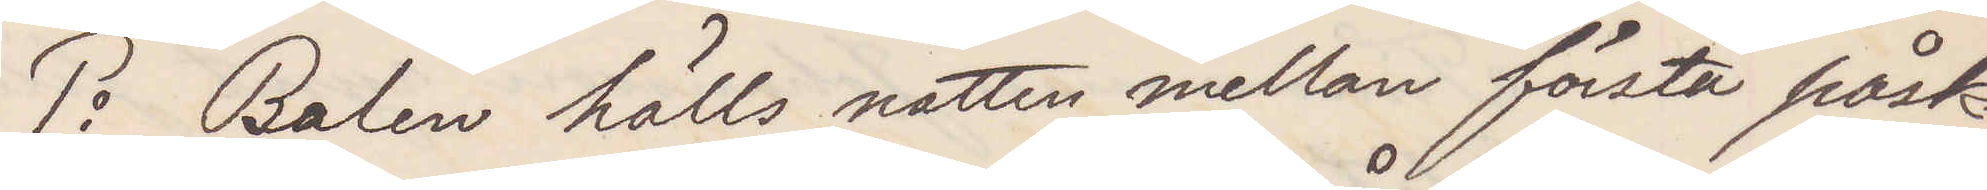1o Balen hölls natten mellan första påsk¬
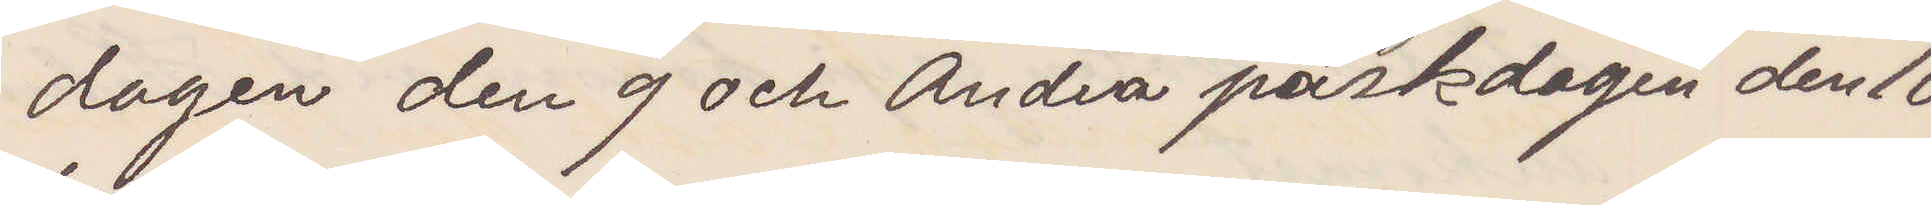dagen den 9 och Andra påskdagen den 10
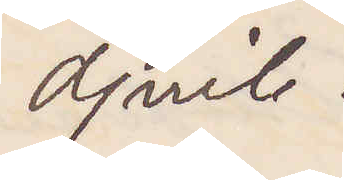April.
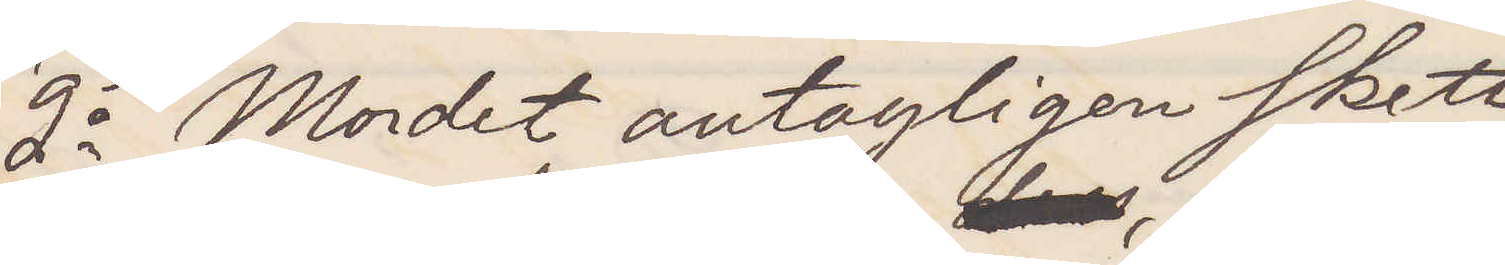2o Mordet antagligen skett
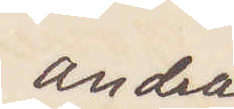andra
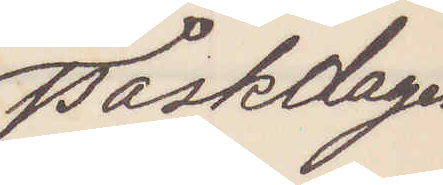påskdagen
